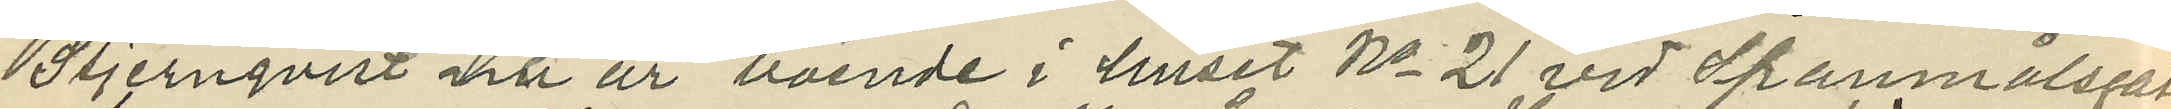Stjernqvist nu är boende i huset No 21 vid Spanmålsgatan
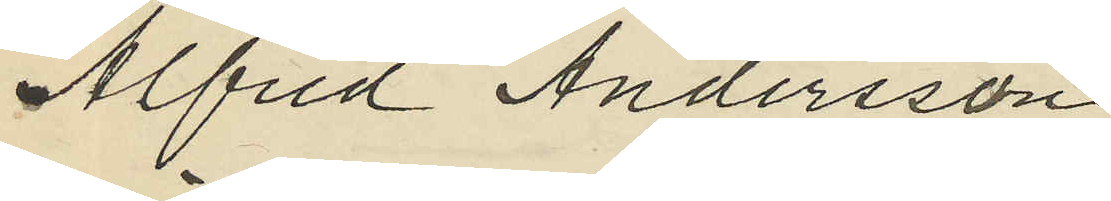Alfred Andersson
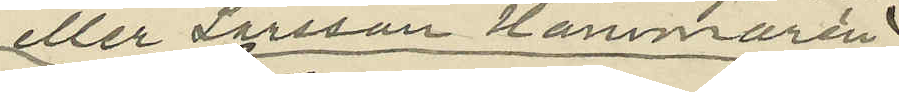eller Larsson Hammarén
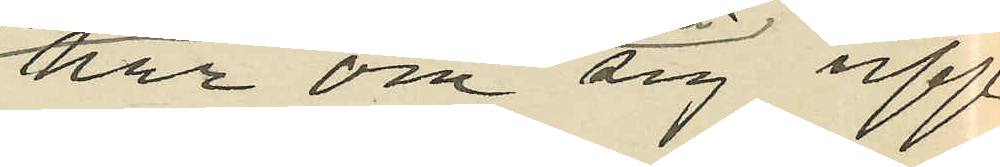har om sig upp¬
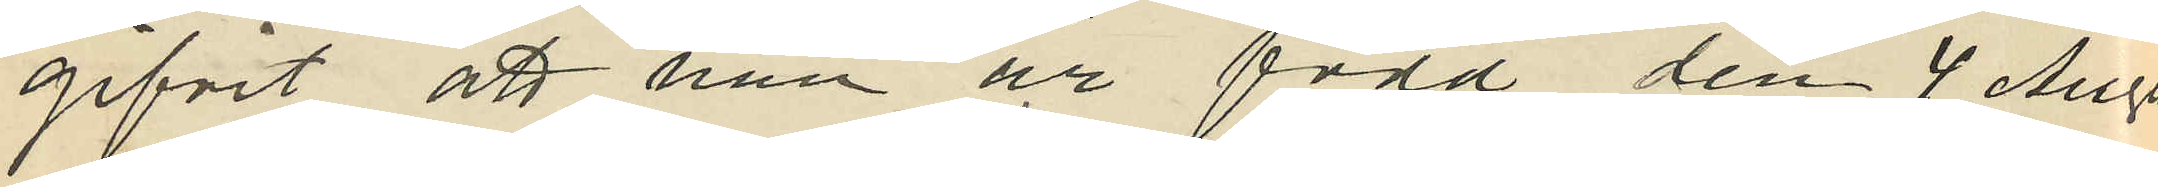gifvit att han är född den 4 Augu¬
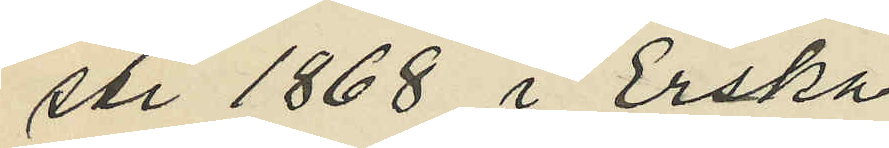sti 1868 i Erska
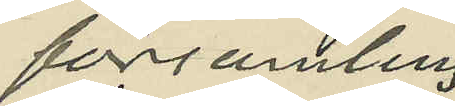församling,
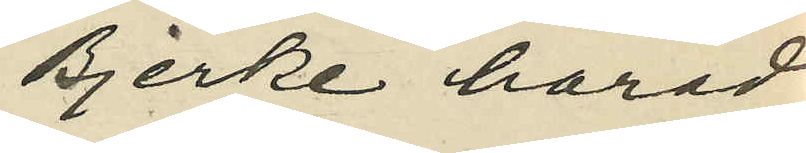Bjerke härad
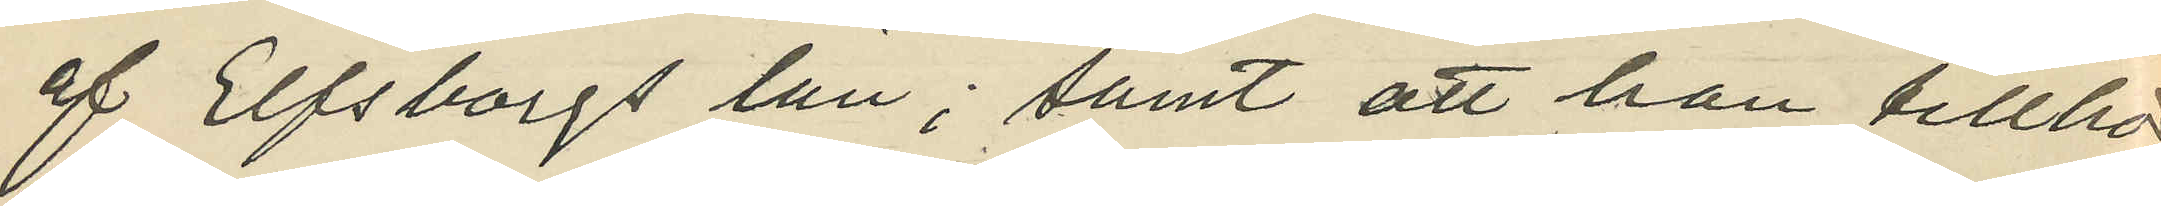af Elfsborgs län; samt att han tillhör
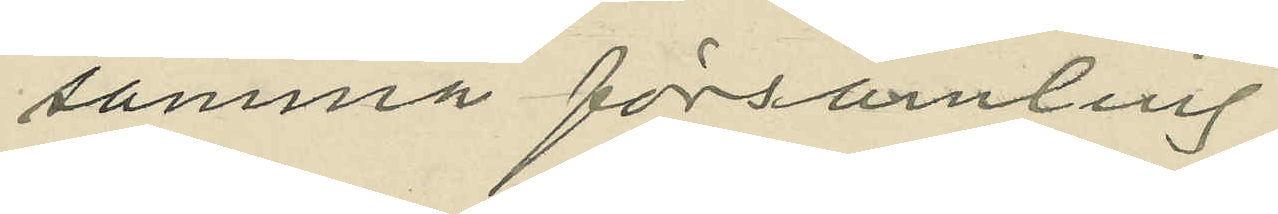samma församling.
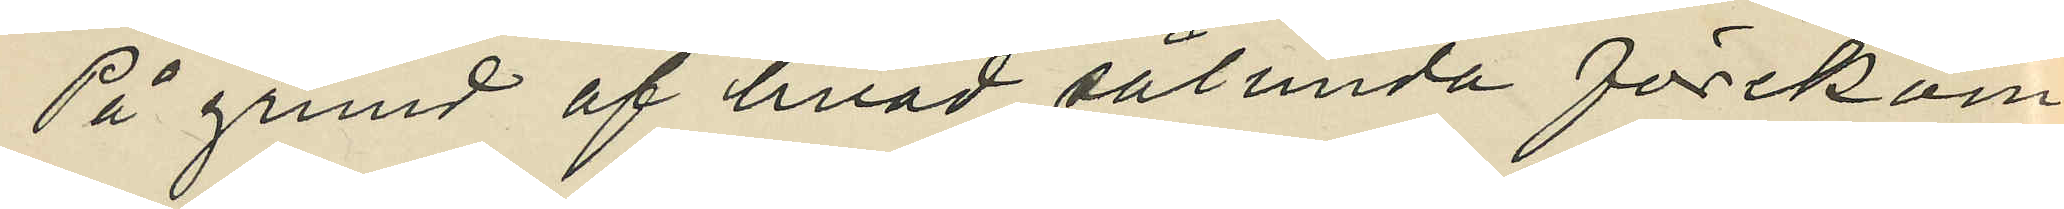På grund af hvad sålunda förekom¬
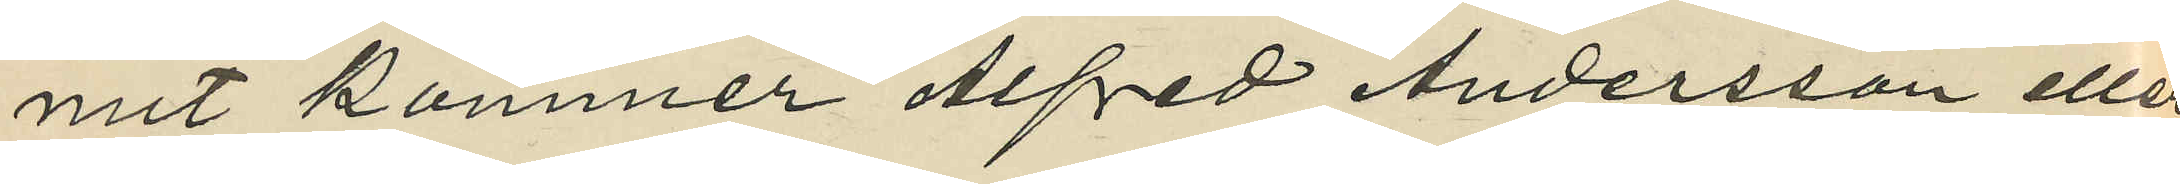mit kommer Alfred Andersson eller
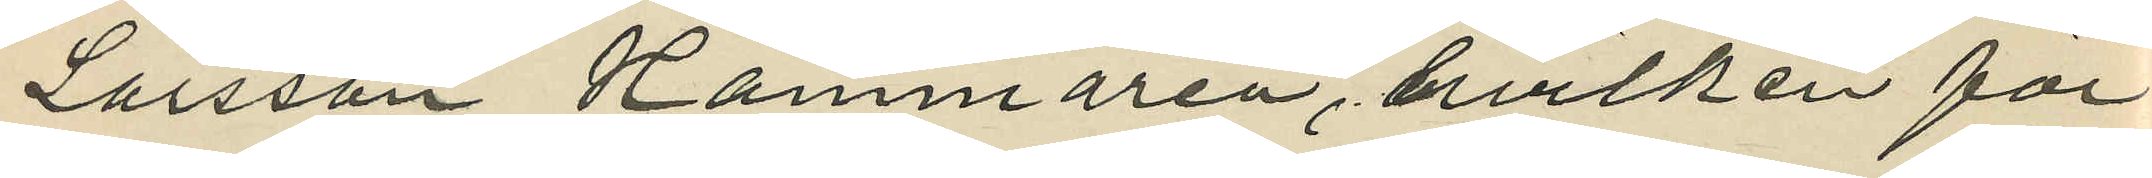Larsson Hammarén, hvilken för¬
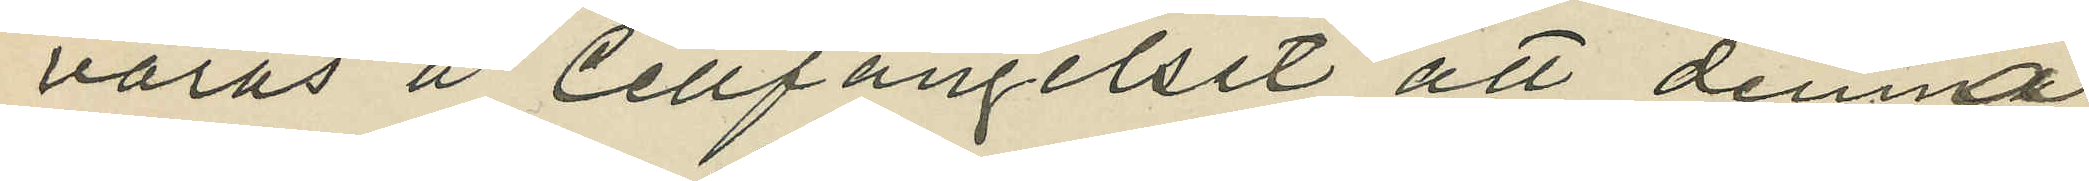varas å Cellfängelset, att denna
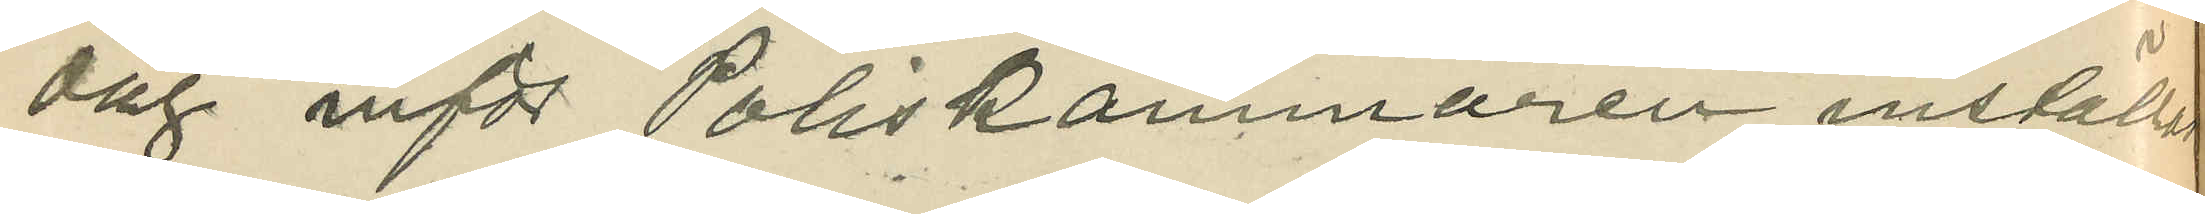dag inför Poliskammaren inställas.
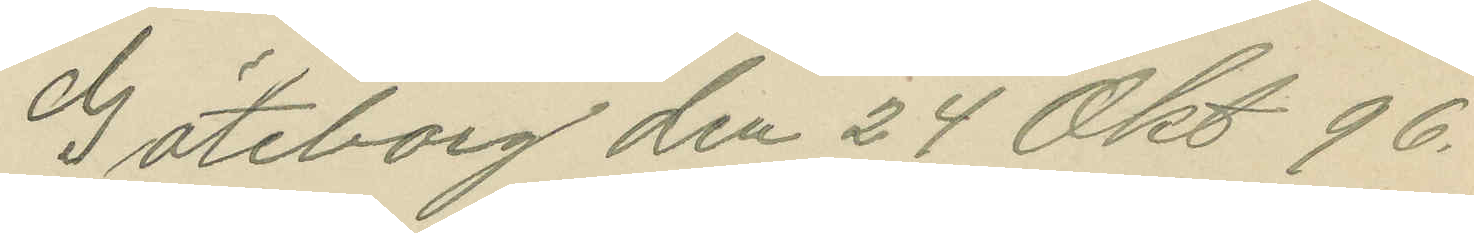Göteborg den 24 Okt 96.
